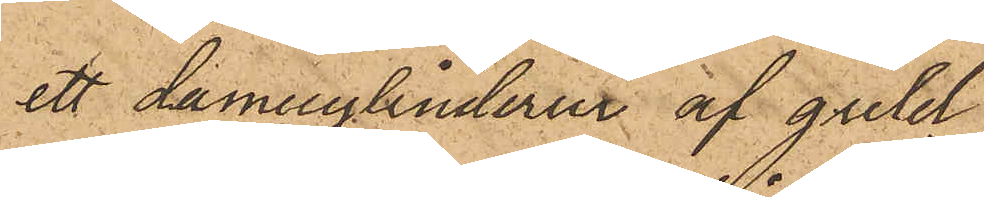ett damecylinderur af guld
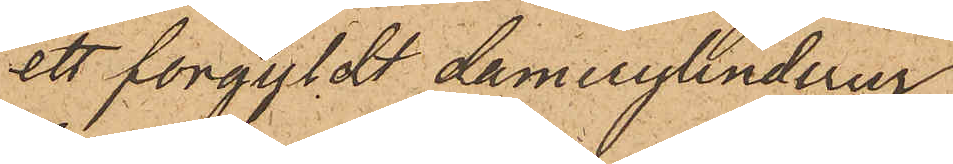ett forgyldt damecylinderur
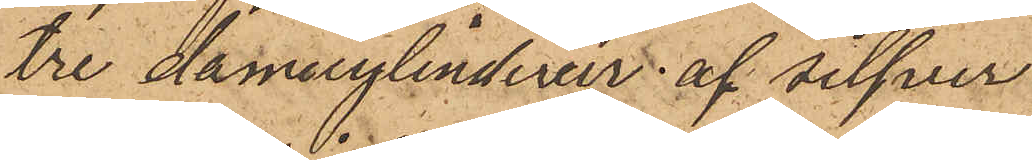tre damecylinderur af silfver
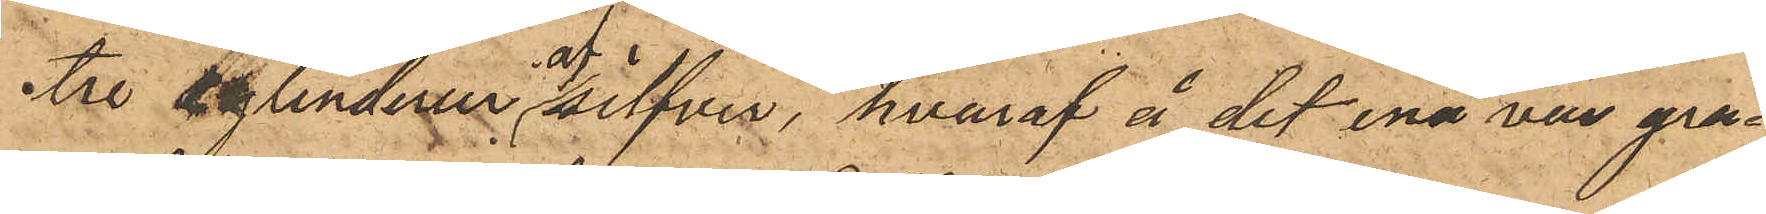tre cylinderur af silfver, hvaraf å det ena var gra¬
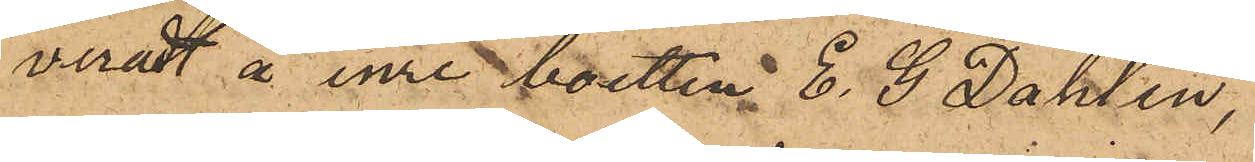veradt å inre botten E. G. Dahlin,
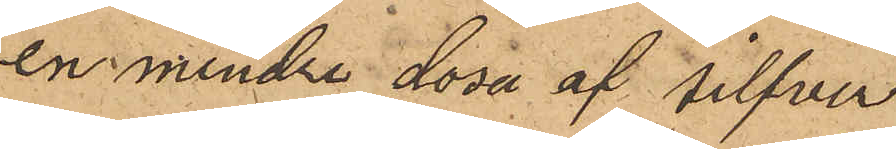en mindre dosa af Silfver
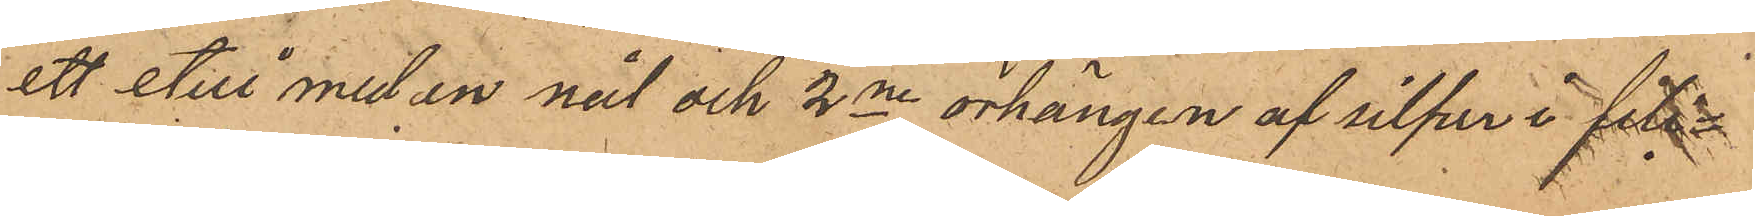ett etui med en nål och 2ne örhängen af silfver i fili¬
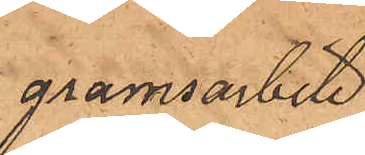gramsarbete
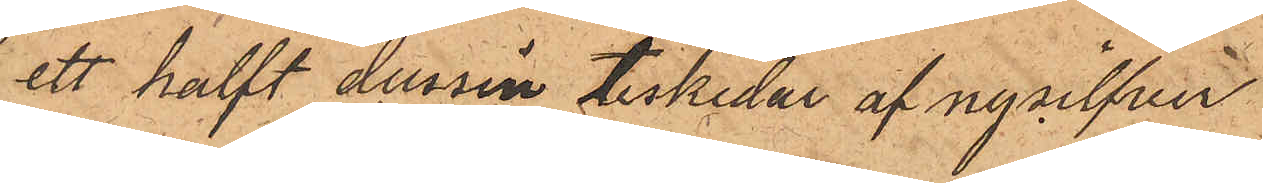ett halft dussin teskedar af nysilfver
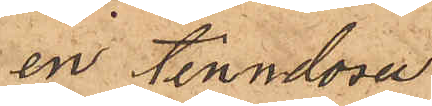en tenndosa
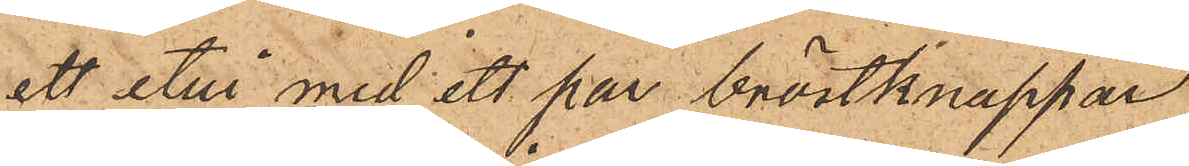ett etui med ett par bröstknappar
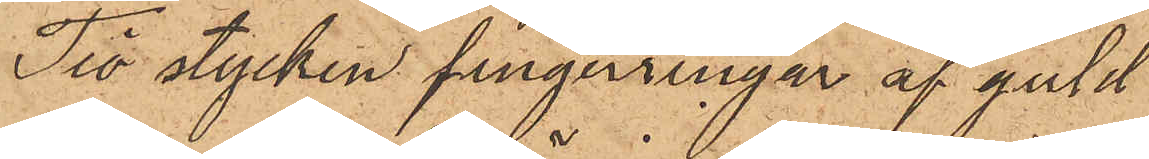Tio stycken fingerringar af guld
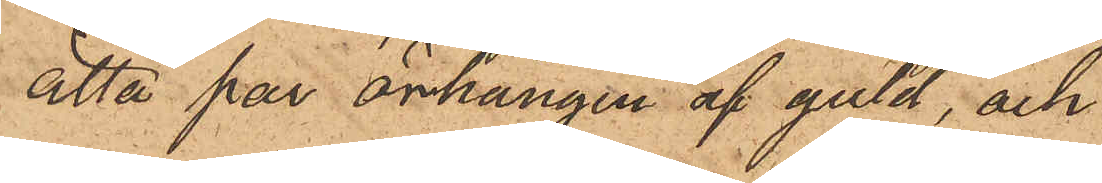åtta par örhängen af guld, och
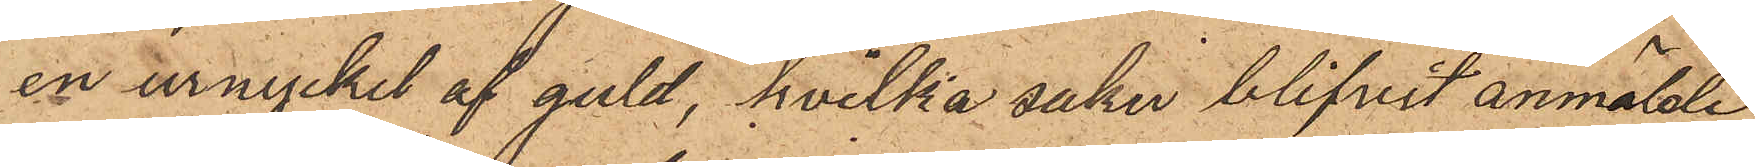en urnyckel af guld, hvilka saker blifvit anmälde
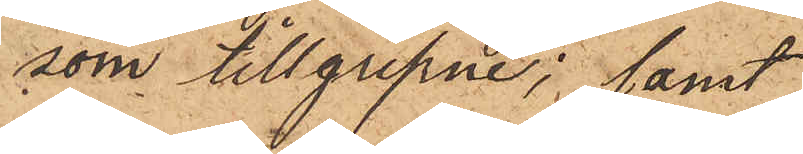som tillgripne; samt
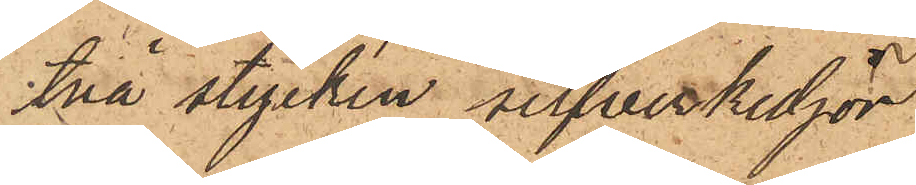två stycken silfverkedjor
